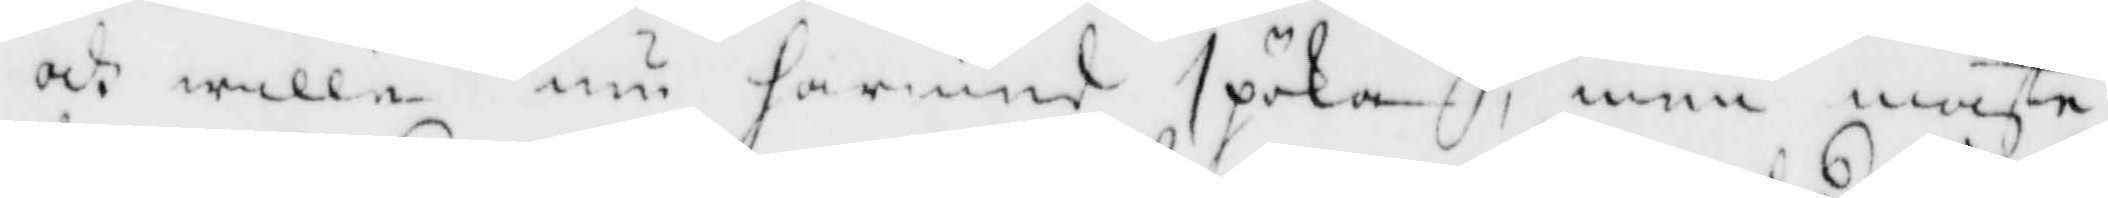och wille nu härmed spöka, men måste
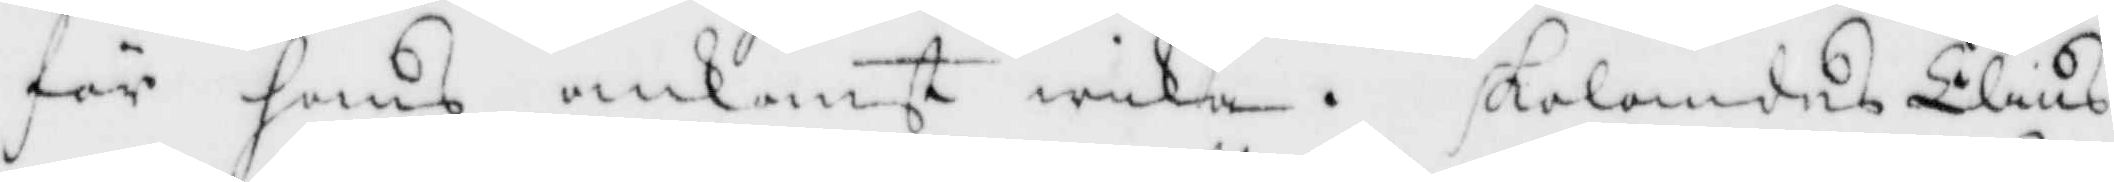för hans ankomst wika, Skolandes Elins
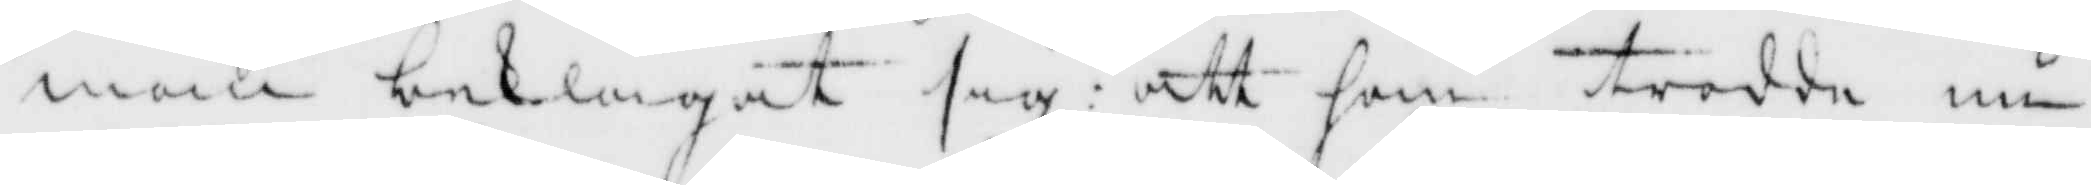man beklagat sig att hon trodde nu
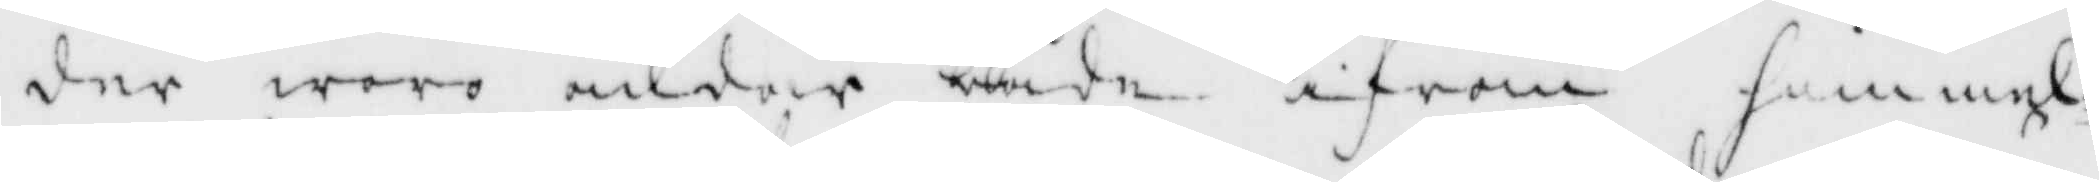der woro andar både ifrån himmel¬
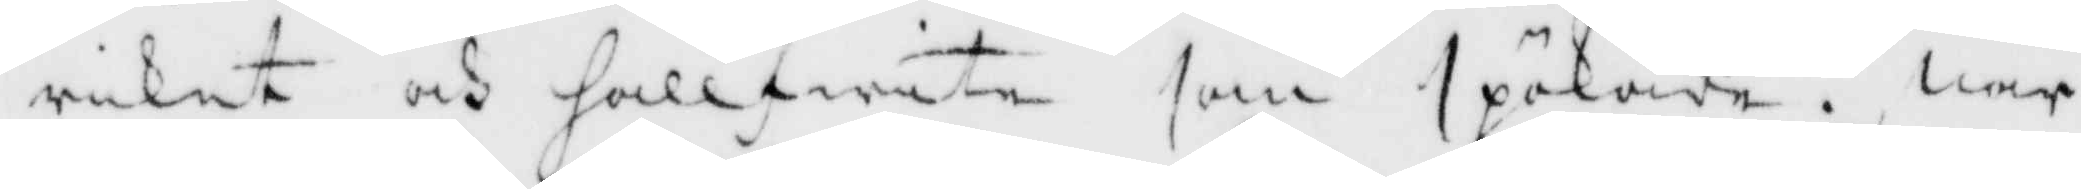riket och hellfwite som spökade. War
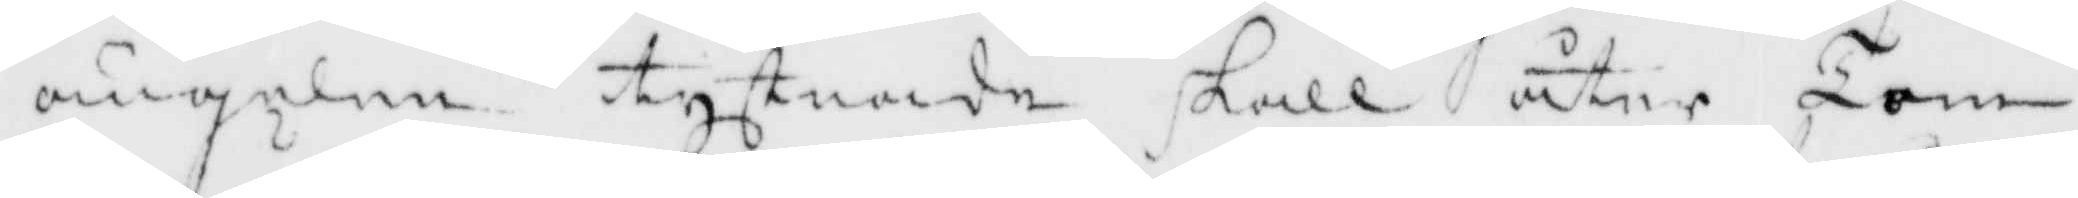ängelen tystnade skall åter Tom¬
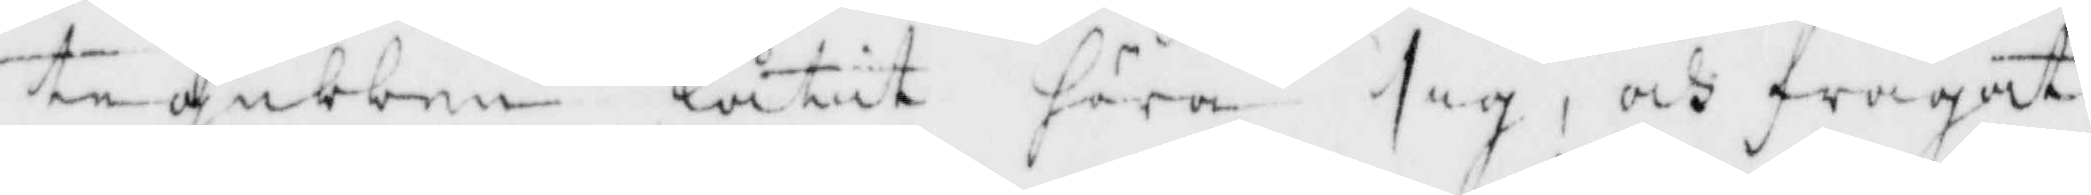tegubben låtit höra sig, och frågat
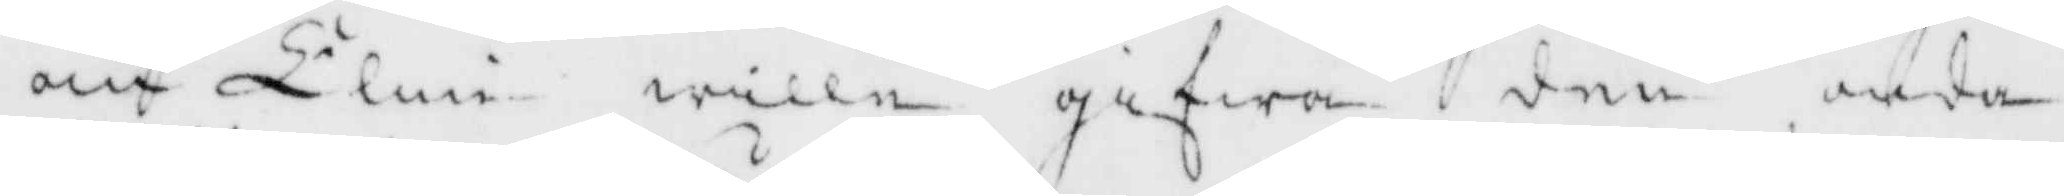om Elin wille gifwa den onda
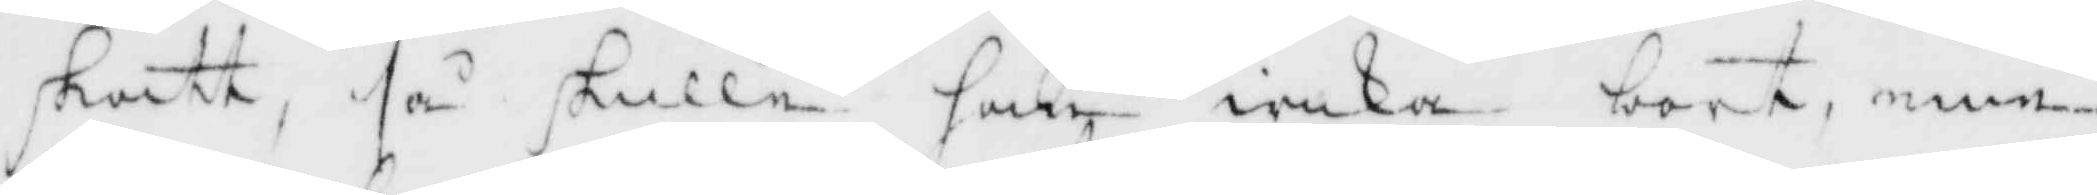skatt, så skulle han wika bort, eme¬
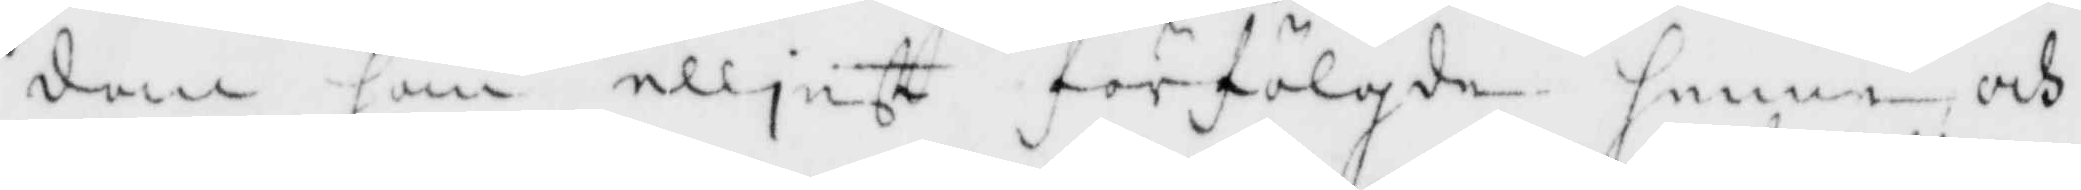dan han elljest förfölgde henne och
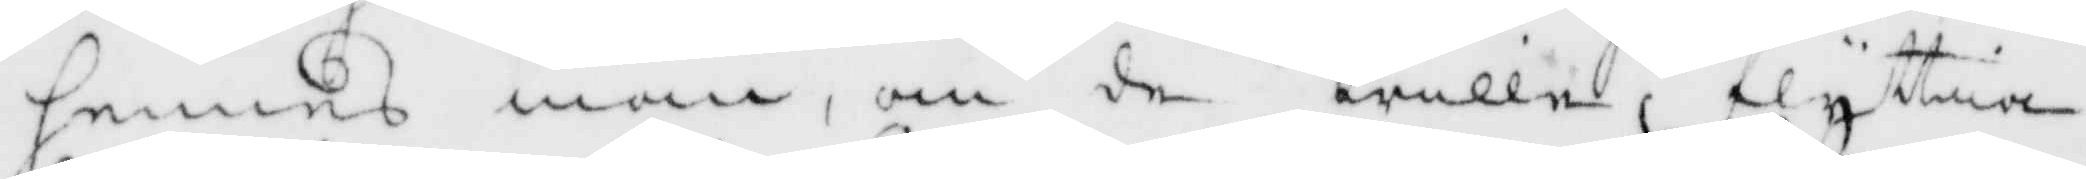hennes man, om de wille flyttia
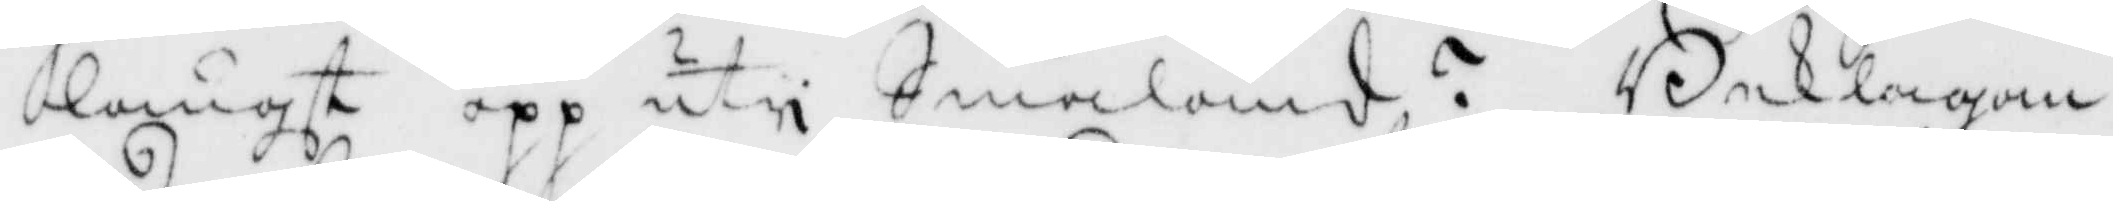långt opp uti Småland? Beklagan¬
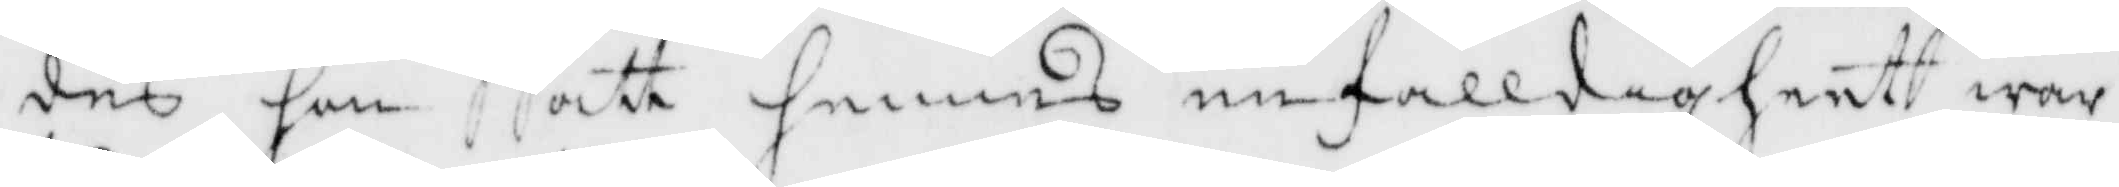des gin att hennes enfalldigheet war
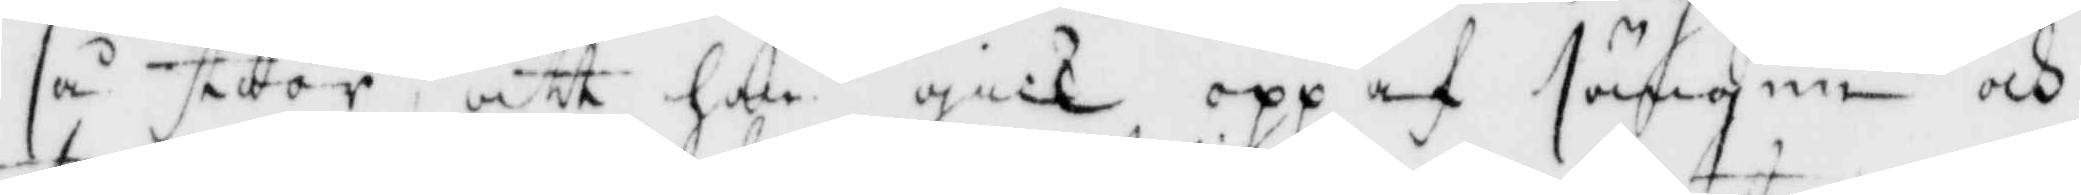så stor att hon gick opp af sängen och
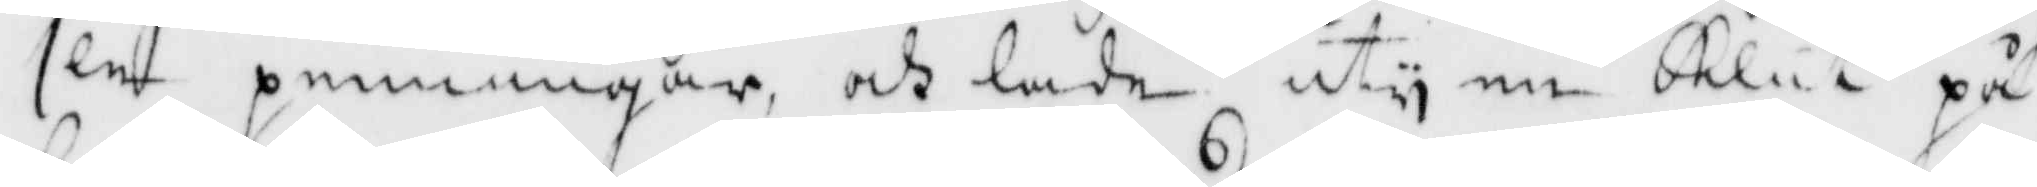sen penningar och lade uti en Klut på
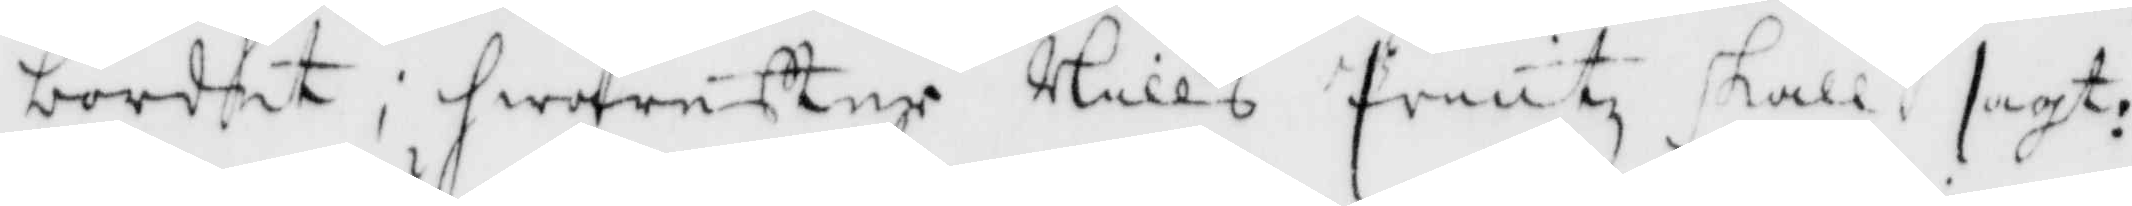bordet; hwarefter Nills Printz skall sagt:
